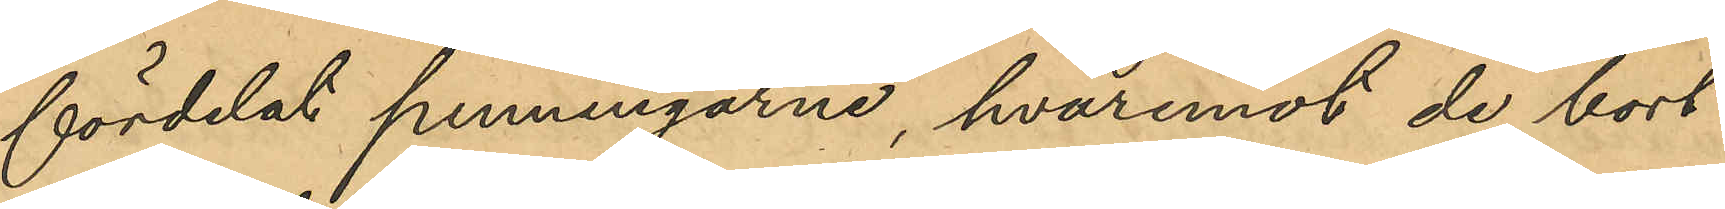fördelat penningarne, hvarmed de bort¬
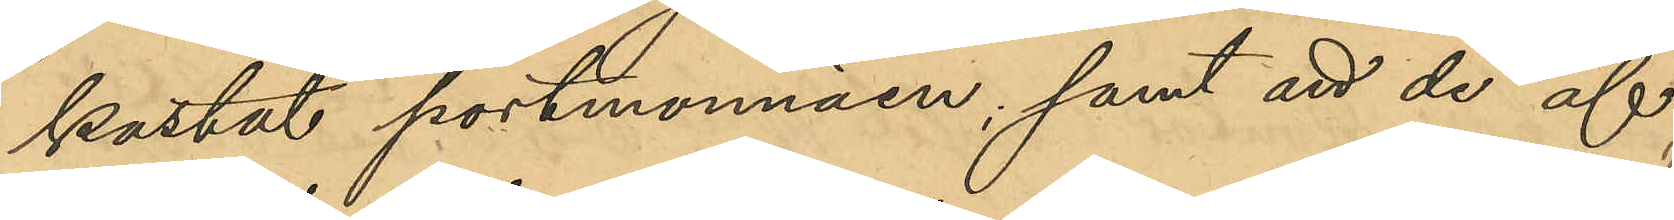kastat portmonnäen; samt att de af 
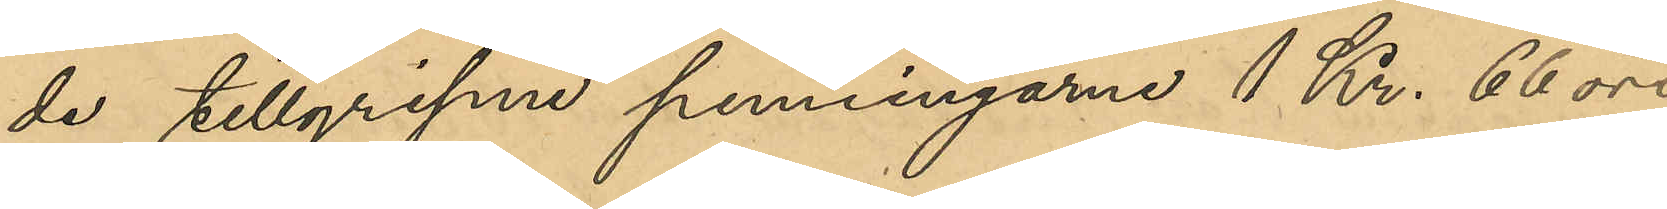de tillgripne penningarne 1 Kr. 66 öre
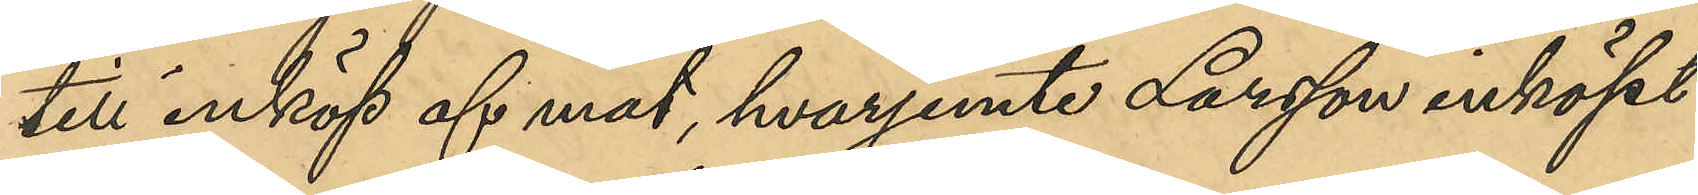till inköp af mat, hvarjemte Larsson inköpt
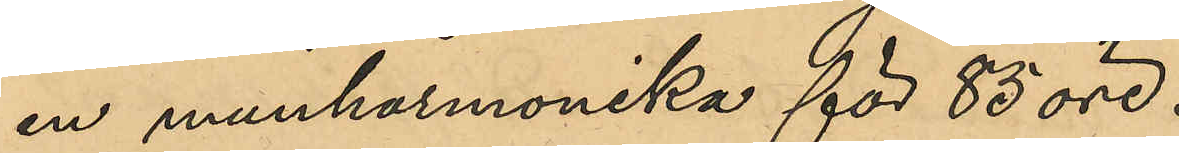en munharmonika för 85 öre.
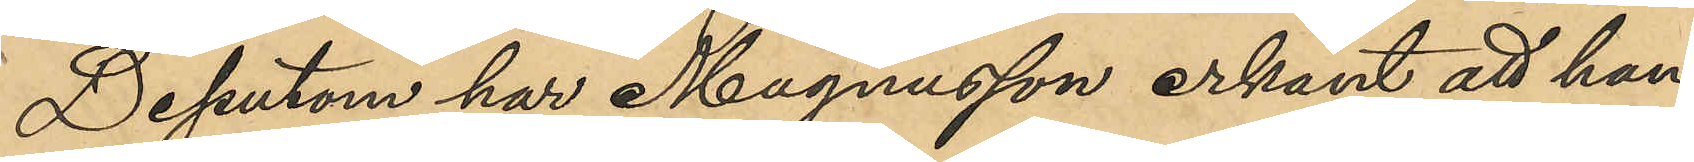Dessutom har Magnusson erkänt att han
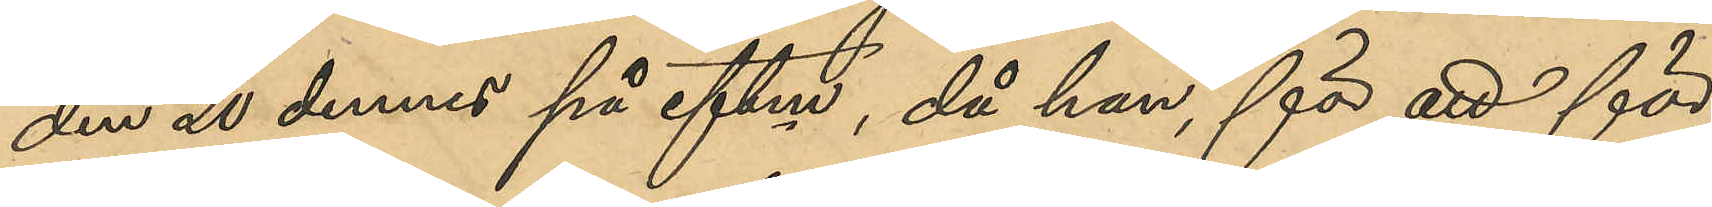den 20 dennes på eftm, då han för att för¬
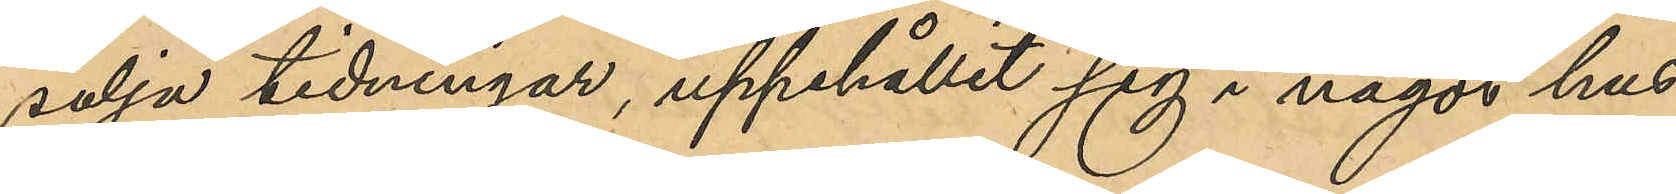sälja tidningar, uppehållit sig i något hus
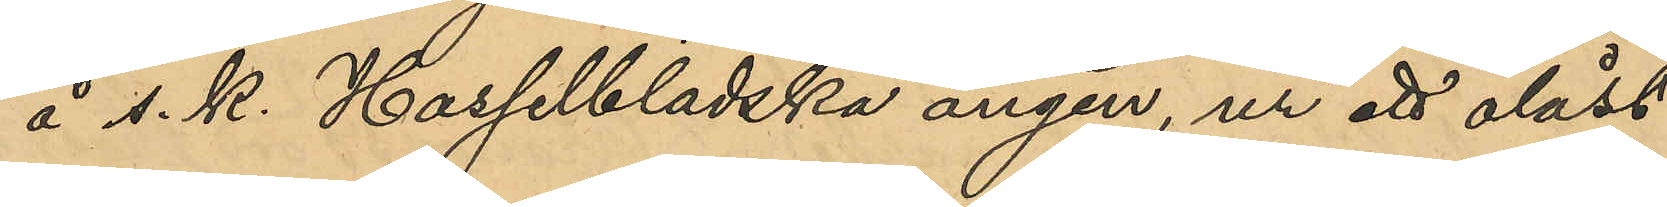å s. k. Hasselbladska ängen, ur ett olåst
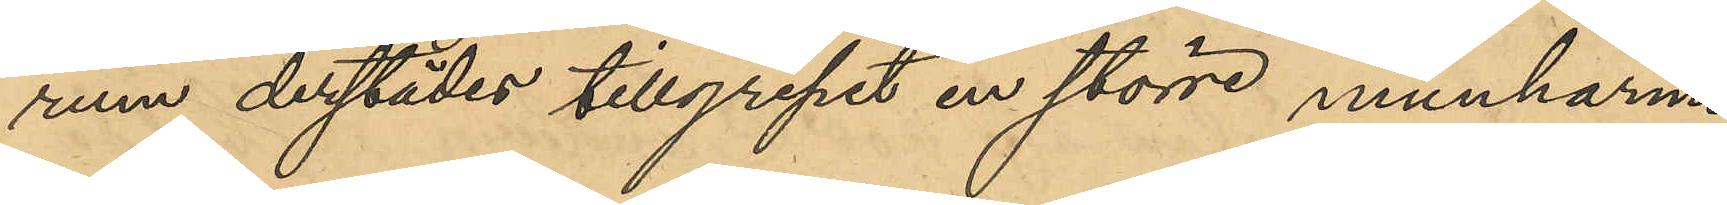rum derstädes tillgripit en större munharmo¬
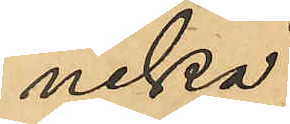nika.
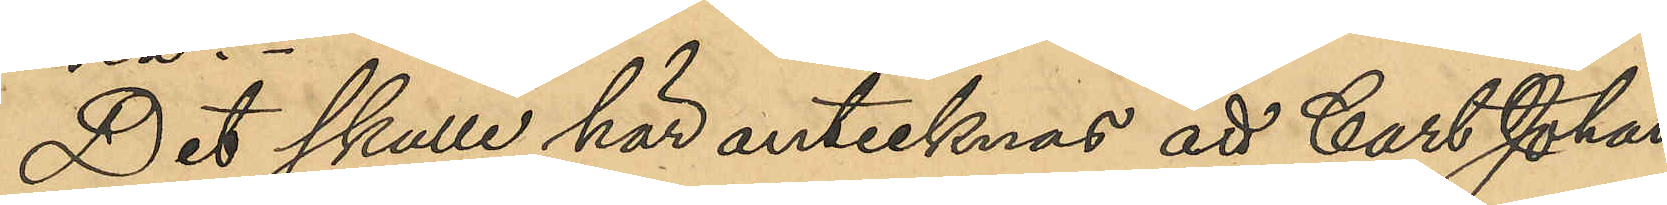Det skulle här antecknas att Carl Johan
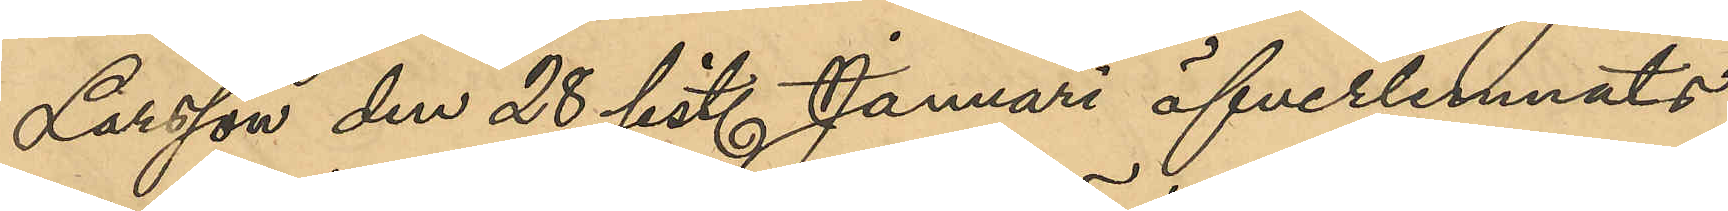Larsson den 28 sist. Januari öfverlemnats
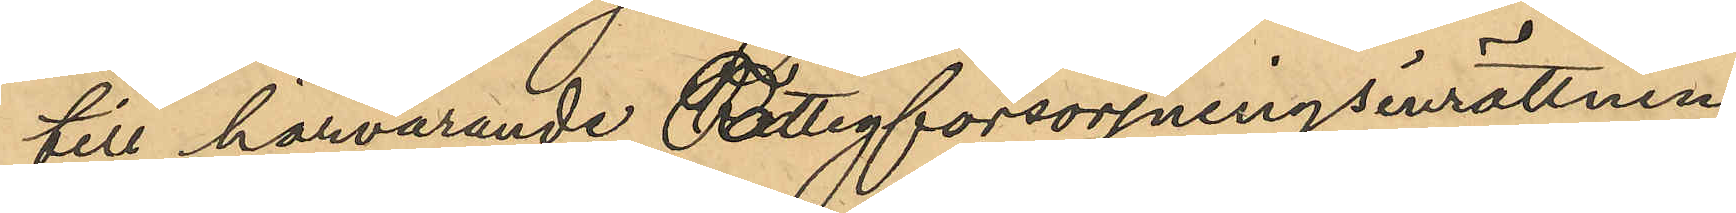till härvarande Fattigförsörjningsinrättning
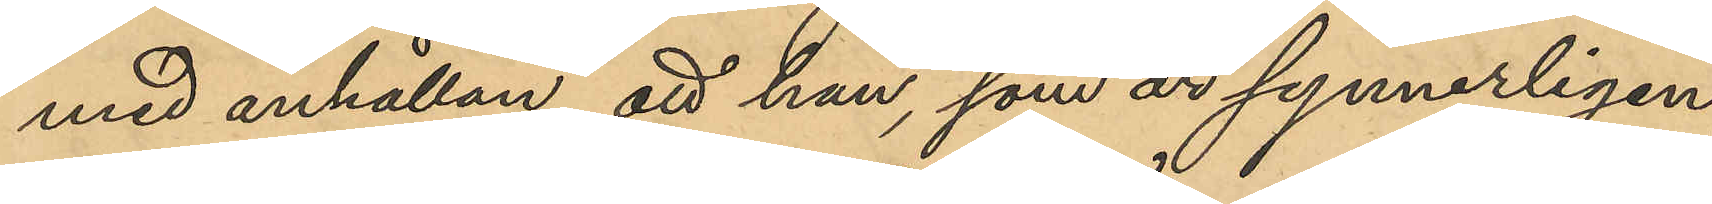med anhållan, att han, som är synnerligen
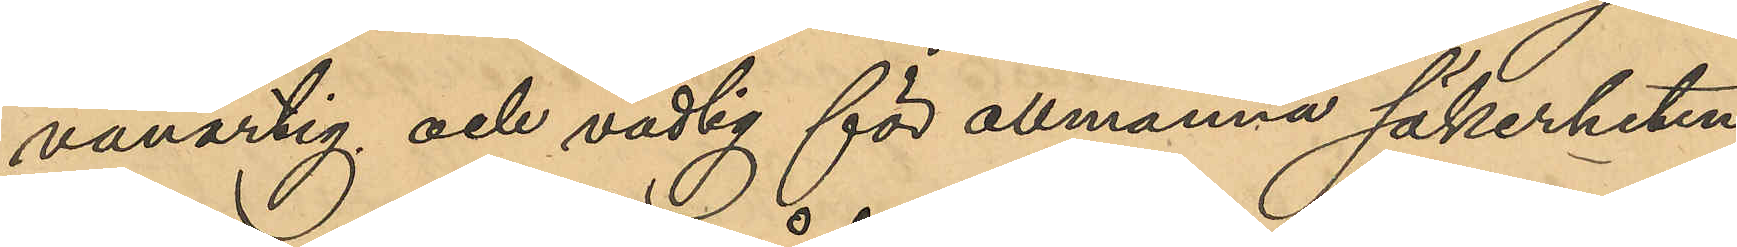vanartig och vådlig för allmänna säkerheten,
